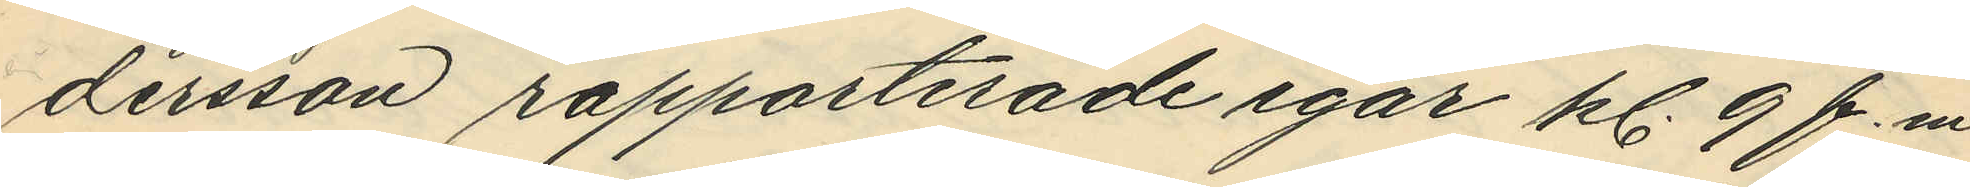dersson rapporterade igår kl. 9 f.m.
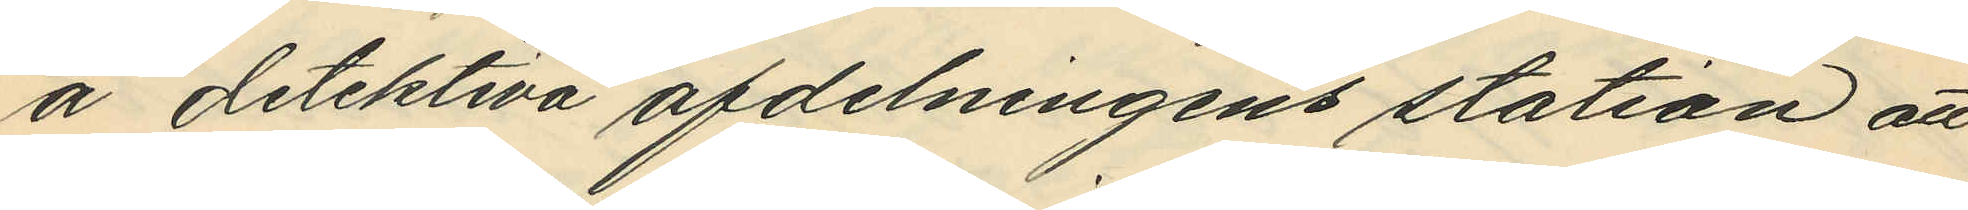å detektiva afdelningens station att
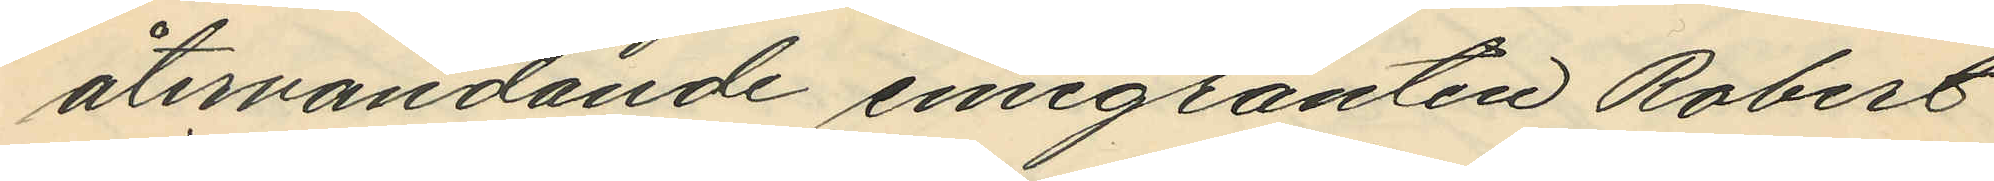återvändande emigranten Robert
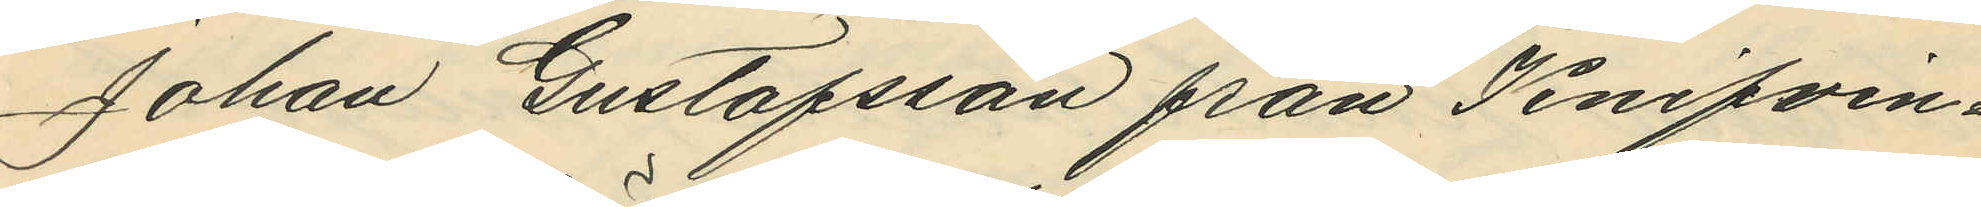Johan Gustafsson från Knifven¬
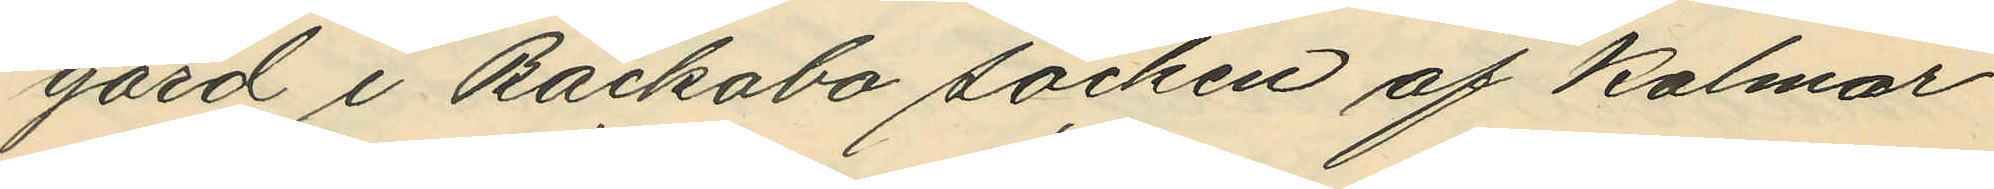gård i Bäckabo socken af Kalmar
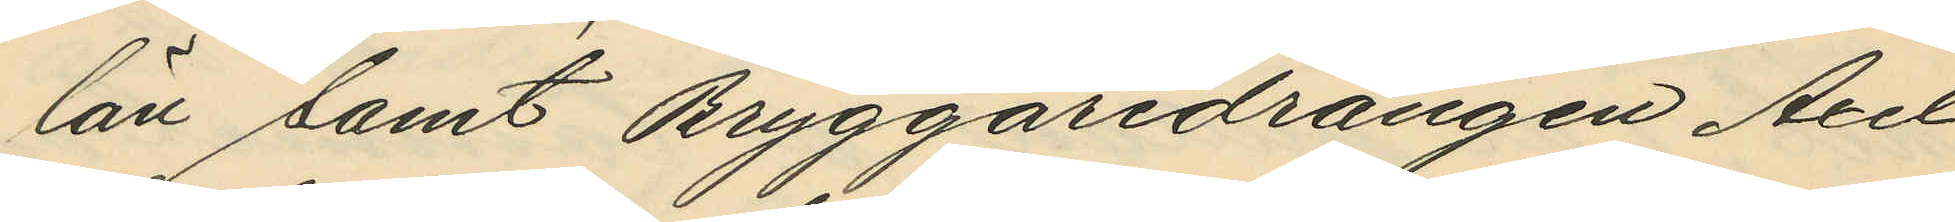län samt Bryggaredrängen Axel
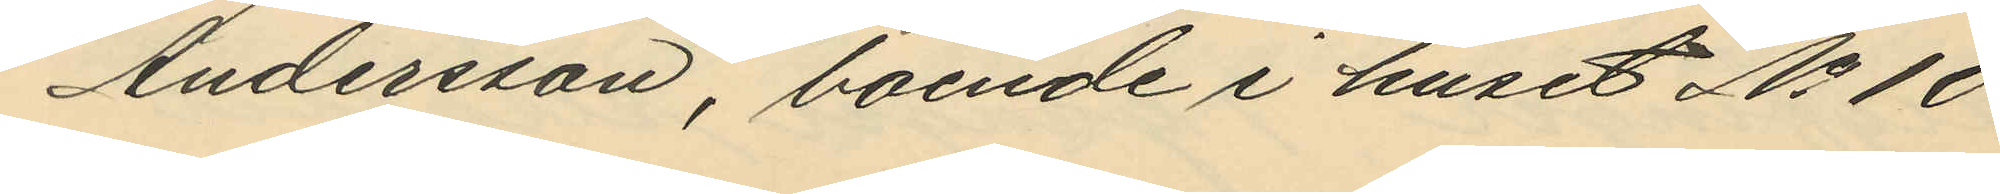Andersson, boende i huset No 10
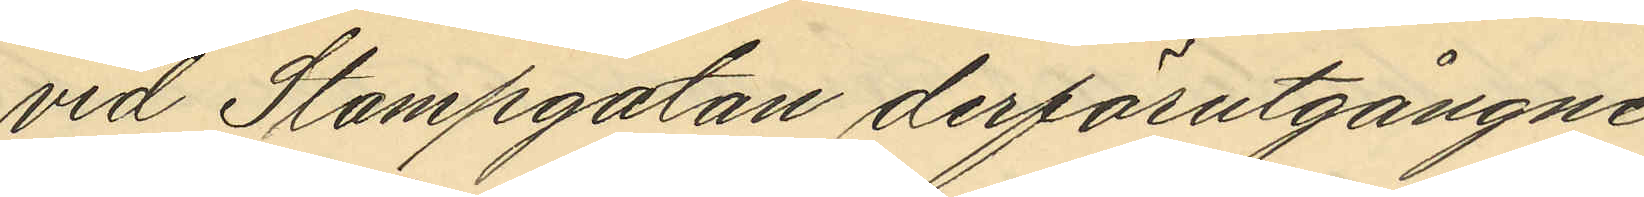vid Stampgatan derförutgångne
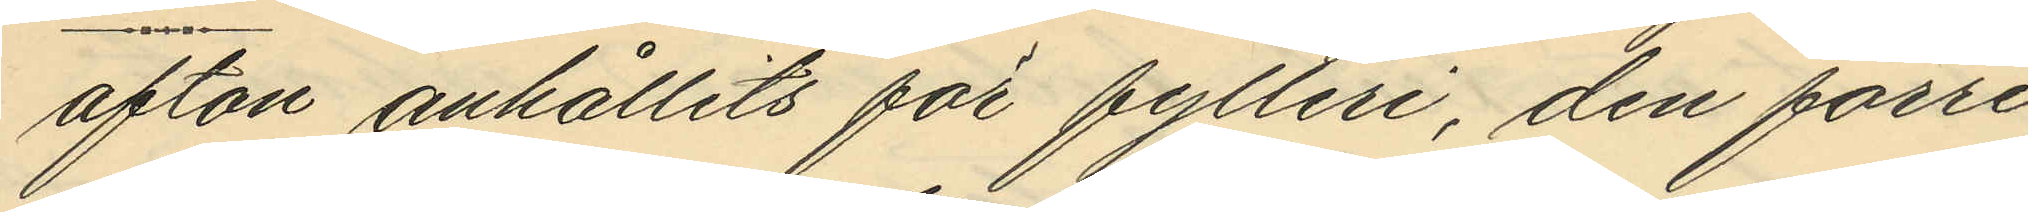afton anhållits för fylleri, den förre
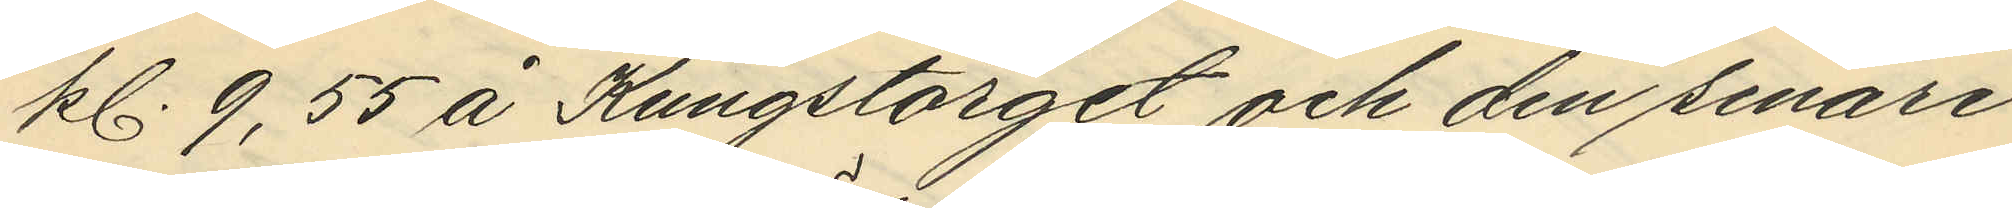kl. 9,55 å Kungstorget och den senare
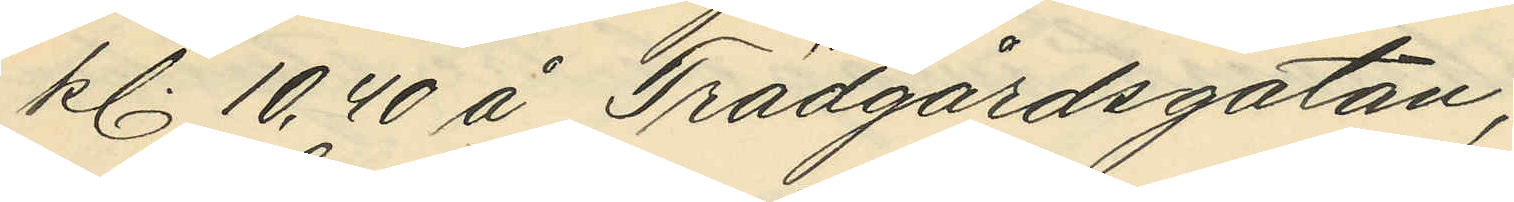kl. 10,40 å Trädgårdsgatan;
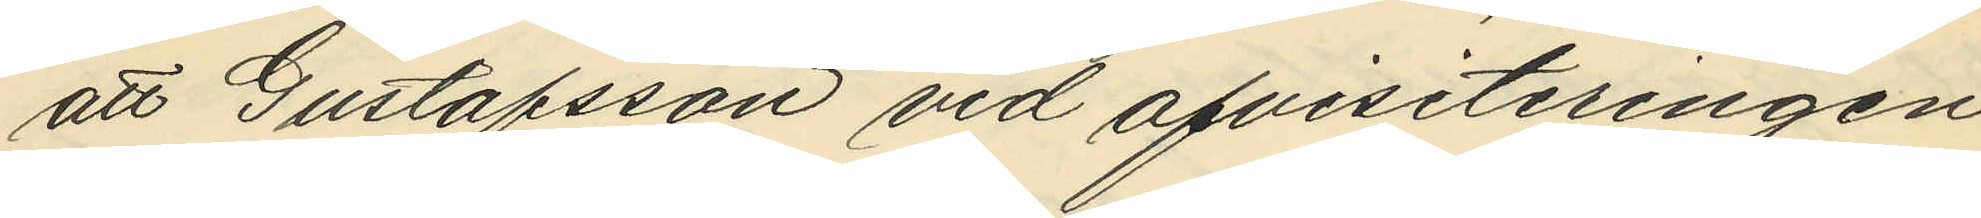att Gustafsson vid afvisiteringen
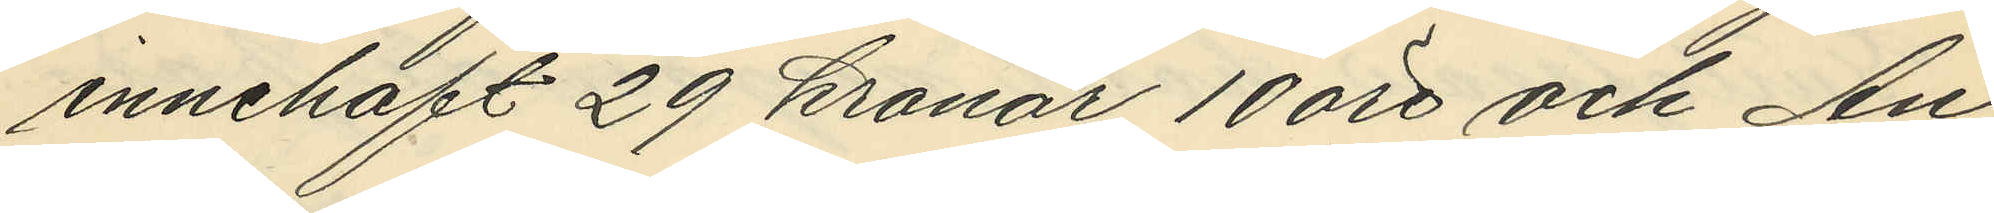innehaft 29 kronor 10 öre och An¬
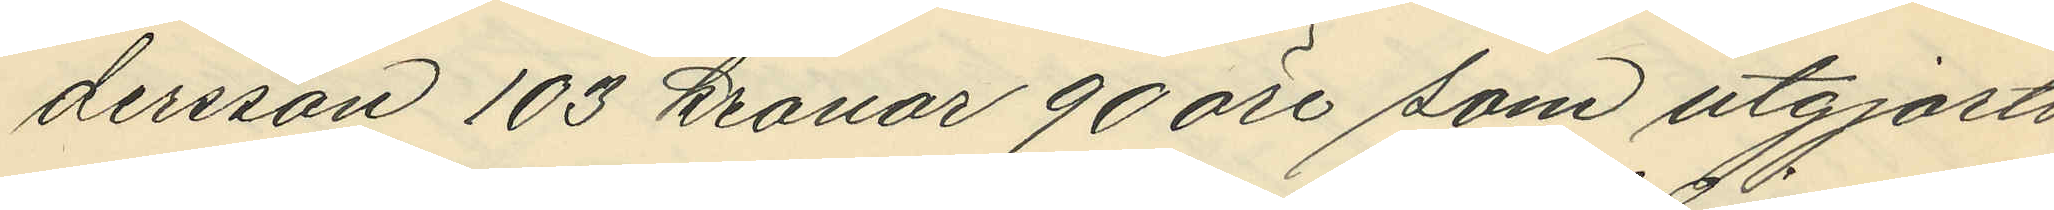dersson 103 kronor 90 öre som utgjorts
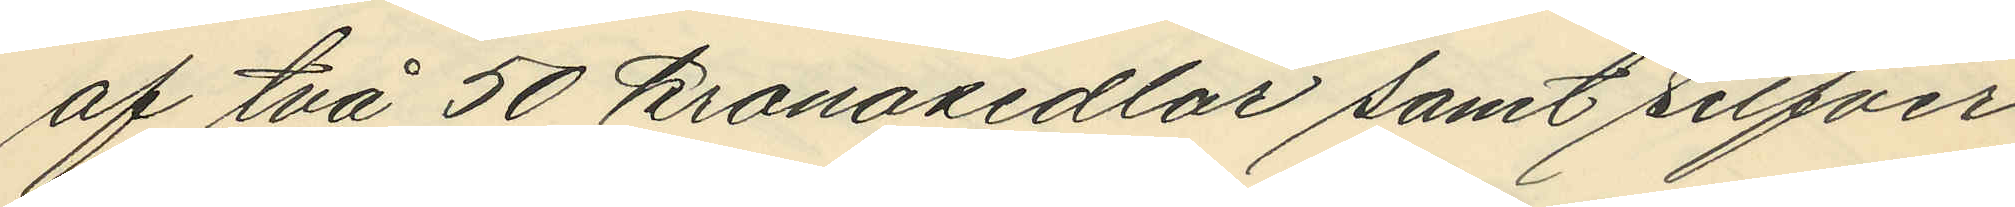af två 50 kronosedlar samt silfver¬
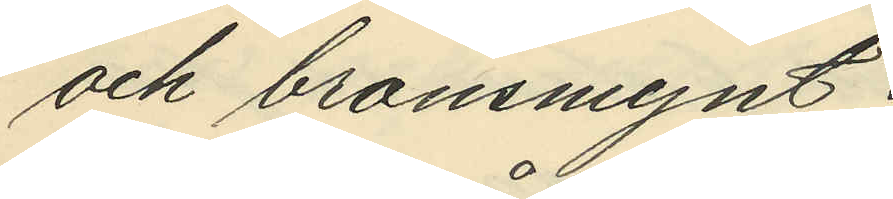och bronsmynt;
